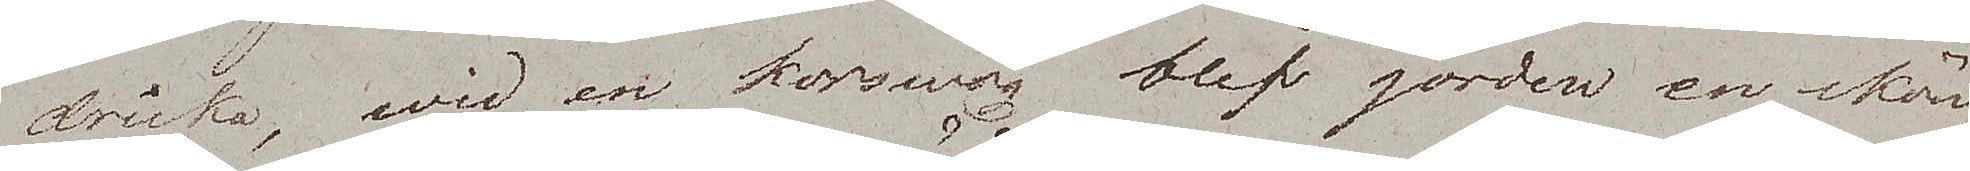dricka, wid en korswäg blef jorden en skön
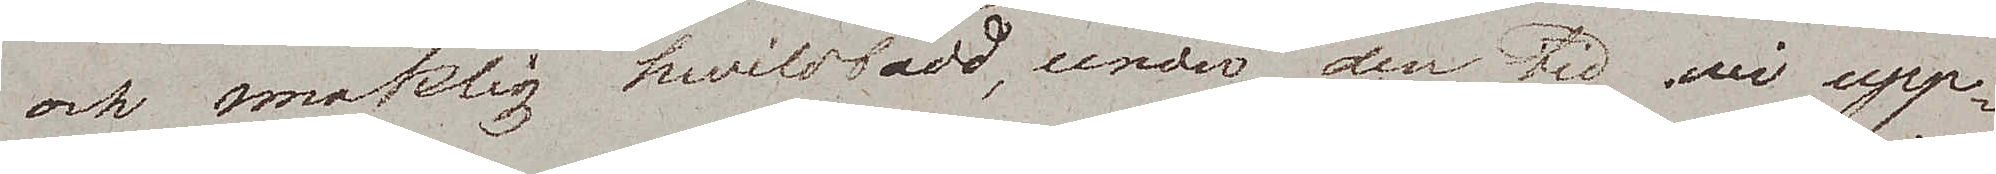och smaklig hwilobädd, under den tid wi upp¬
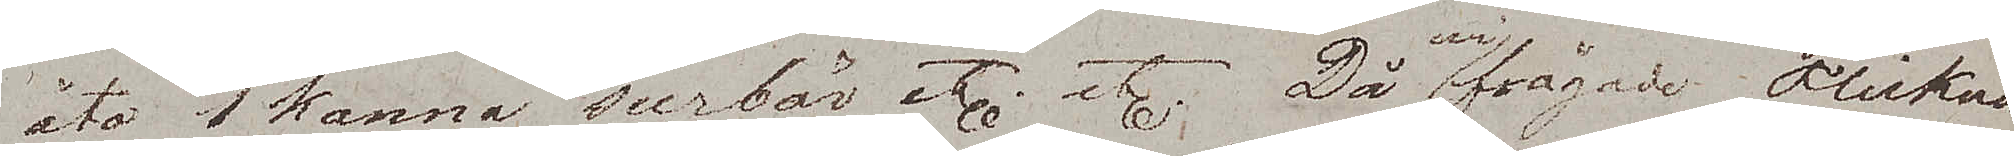åto 1 kanna surbär etc etc. Då wi frågade Flickan
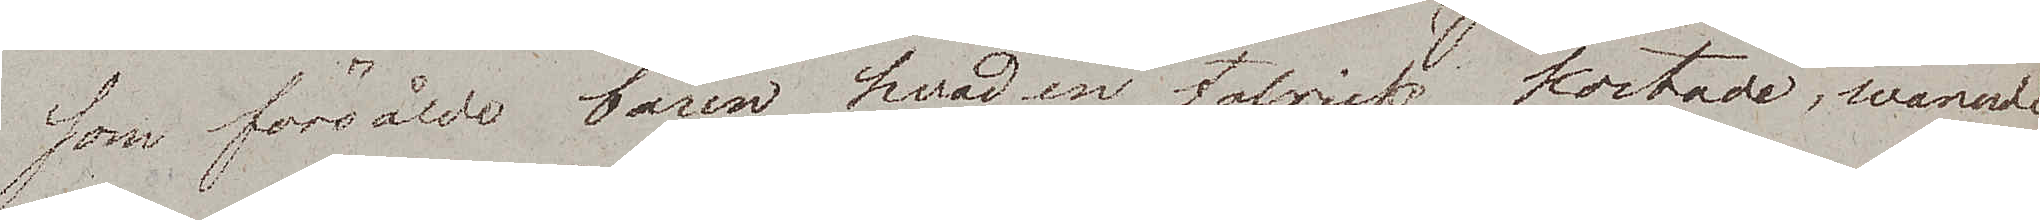som försålde bären hvad en talrick kostade, warnade
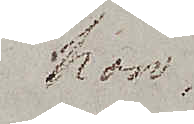hon
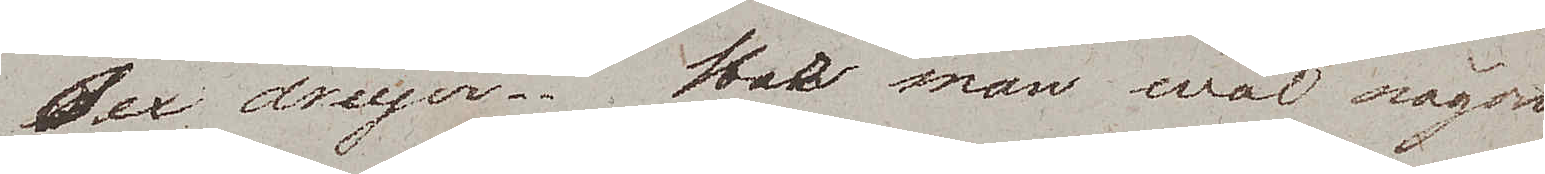sex dreijer. Har man wäl någon¬
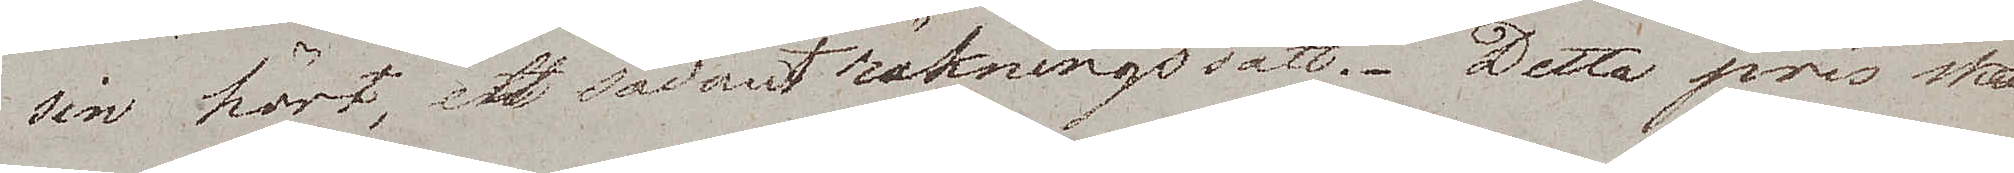sin hört, ett sådant räkningssätt. Detta pris skall
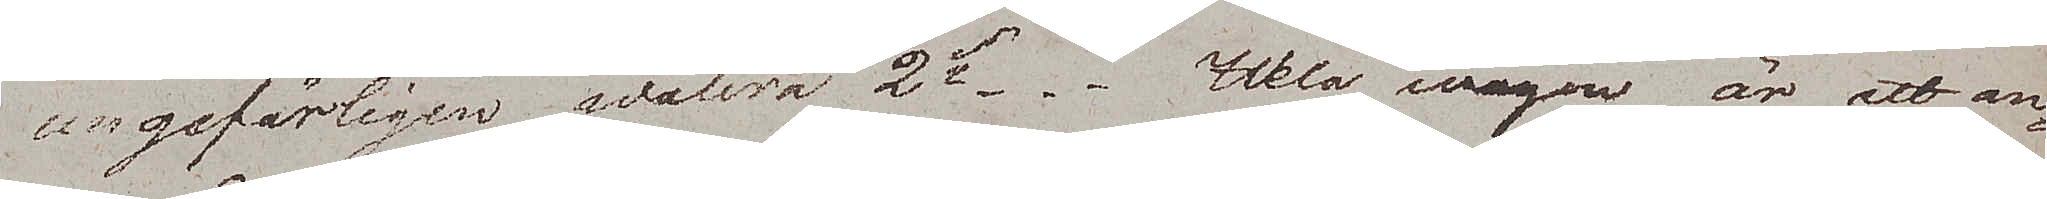ungefärligen walera 2Rdr. Hela wägen är att an¬
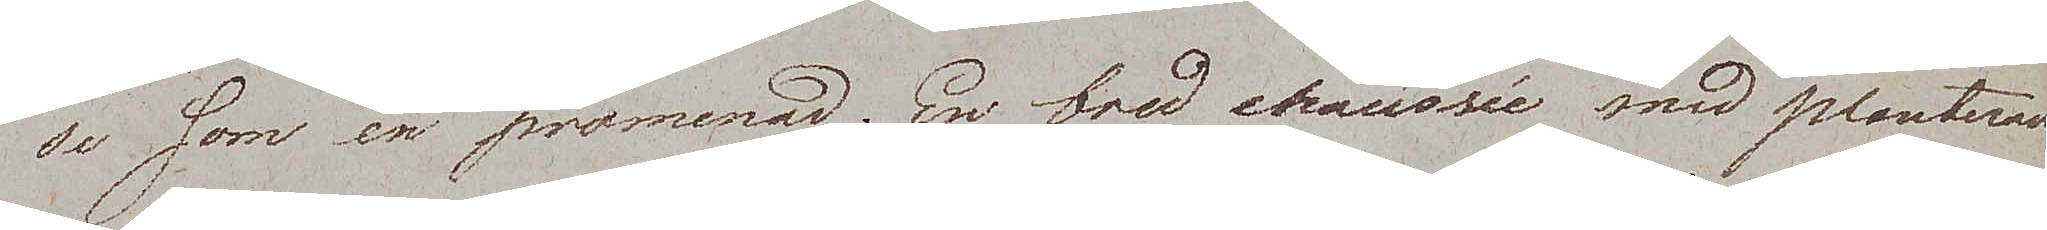se som en promenad. En bred Chaussée med planterade
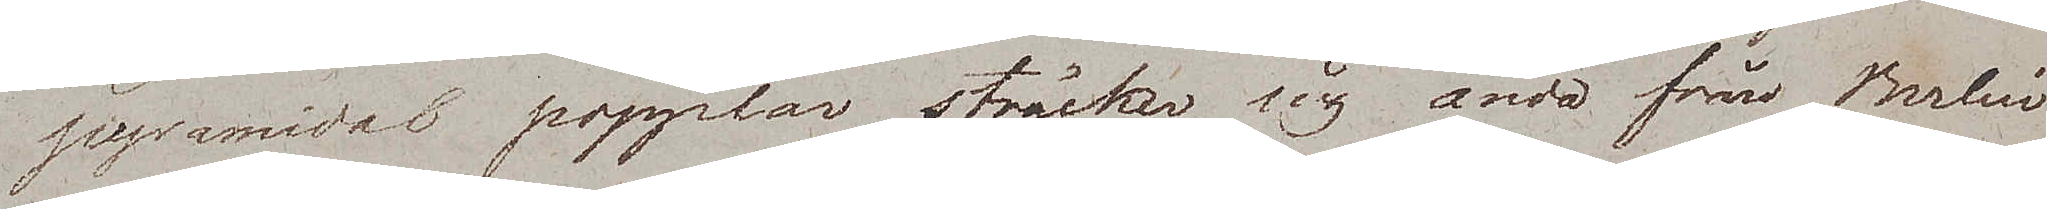pyramidal popplar sträcker sig ända från Berlin
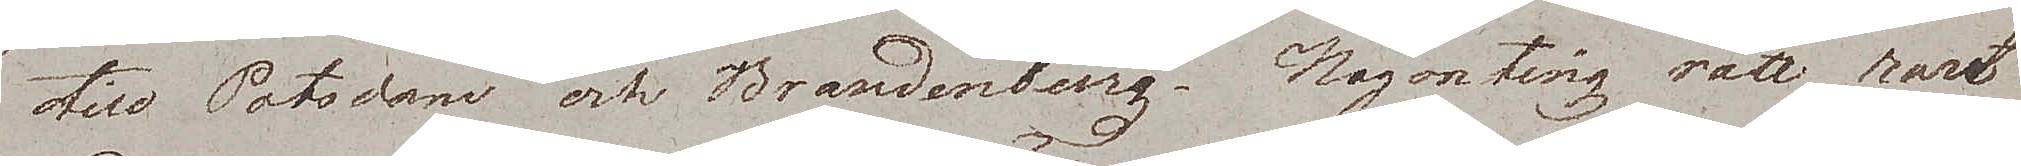till Potsdam och Brandenburg. Någonting rätt rart.
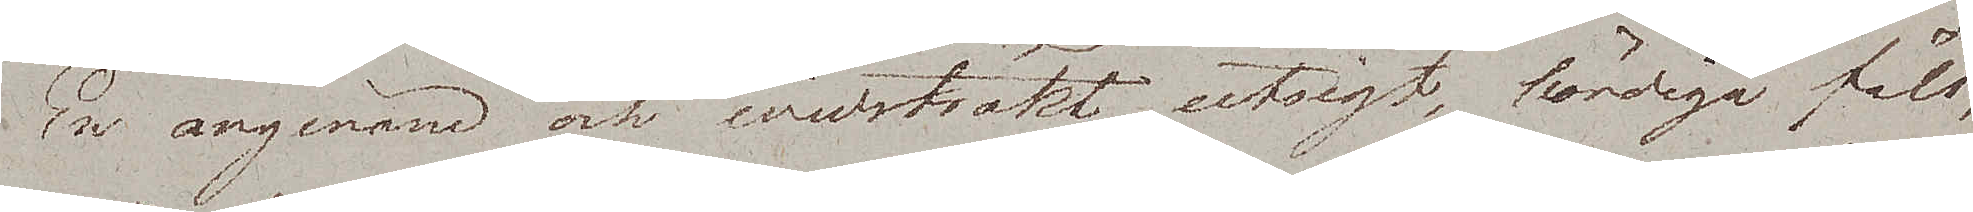En angenäm och widsträkt utsigt, bördiga fält,
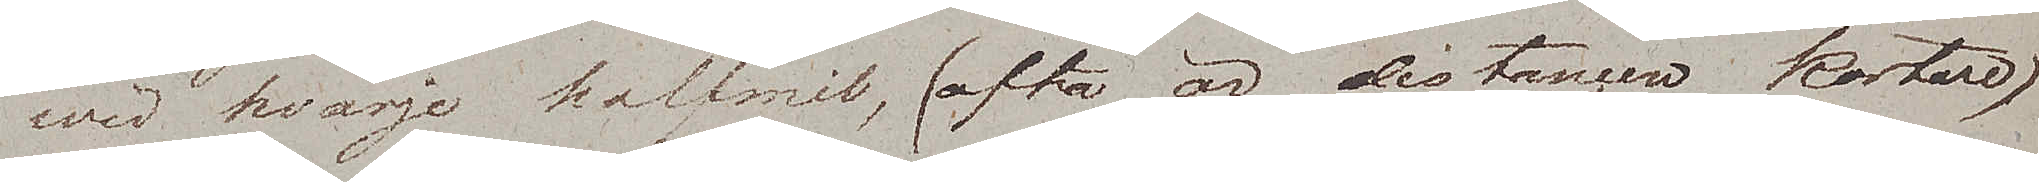wid hvarje halfmil, (ofta är distancen kortare)
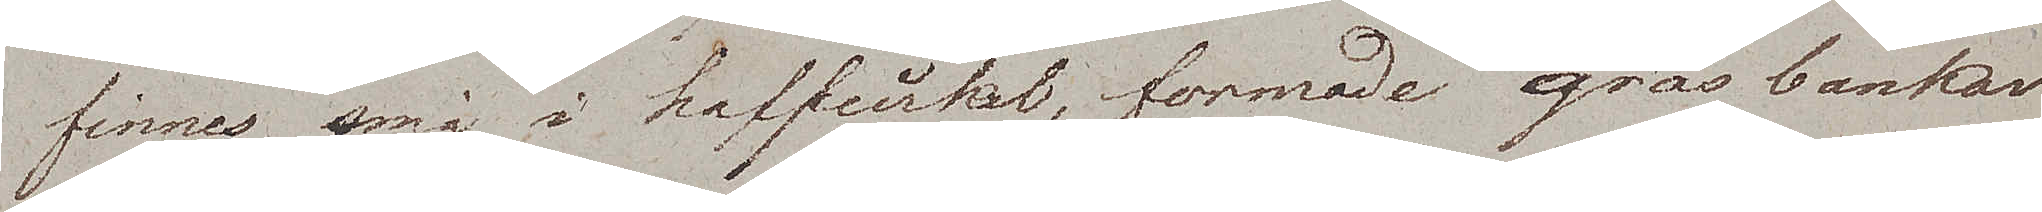finnes små i halfcirkel, formade gräsbankar
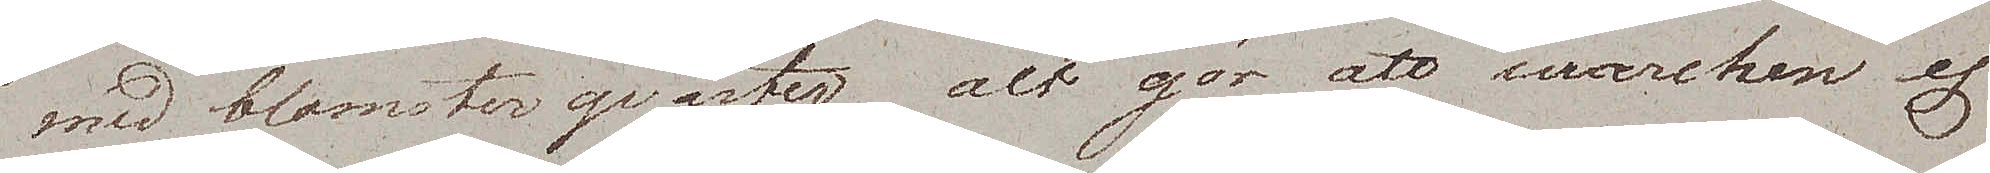med blomsterqvarter, alt gör att marchen ej
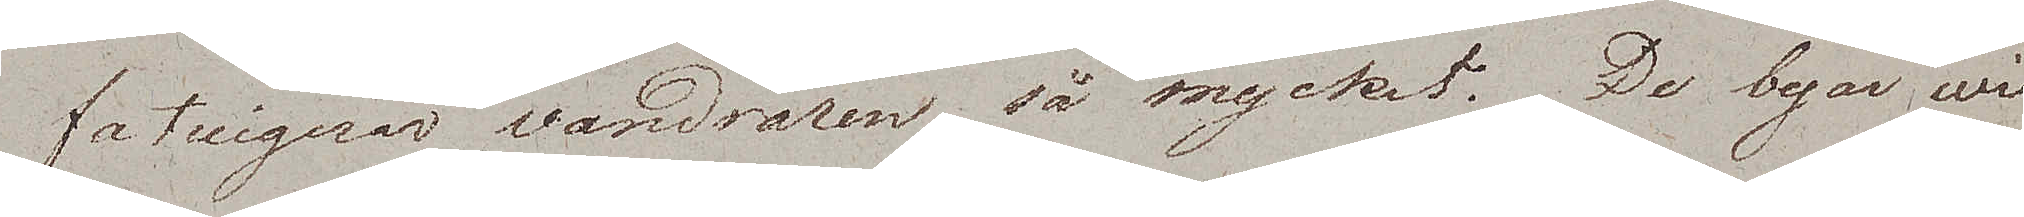fatiguerar vandraren så mycket. De byar wi
